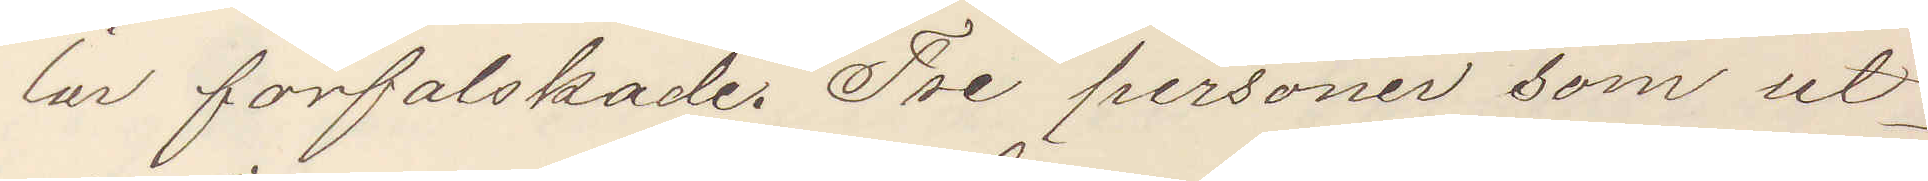lar förfalskade. Tre personer som ut¬
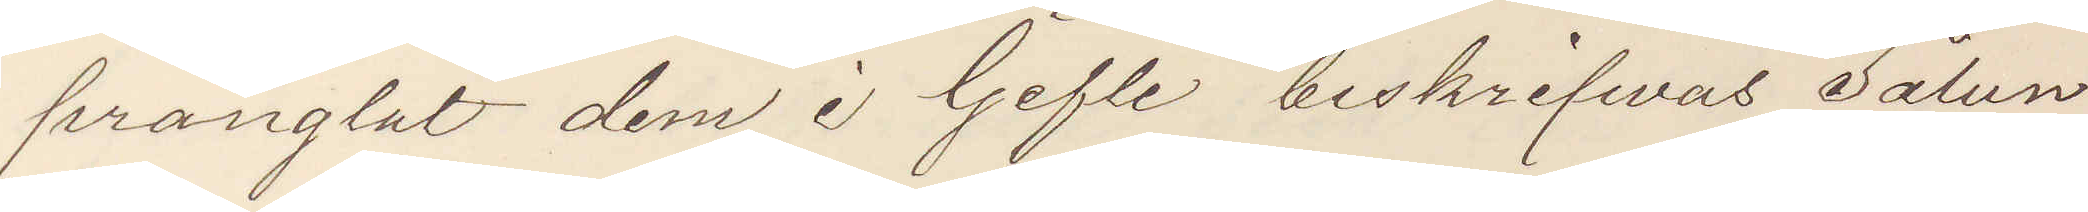prånglat dem i Gefle beskrifwas sålun¬
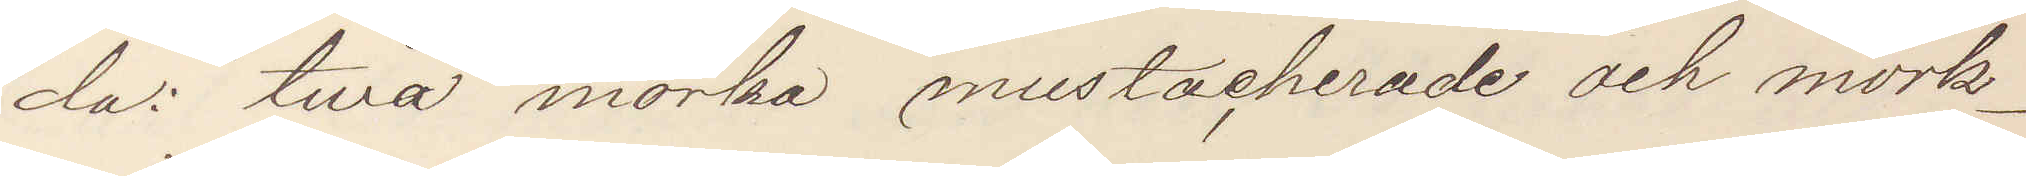da twå mörka mustacherade och mörk¬
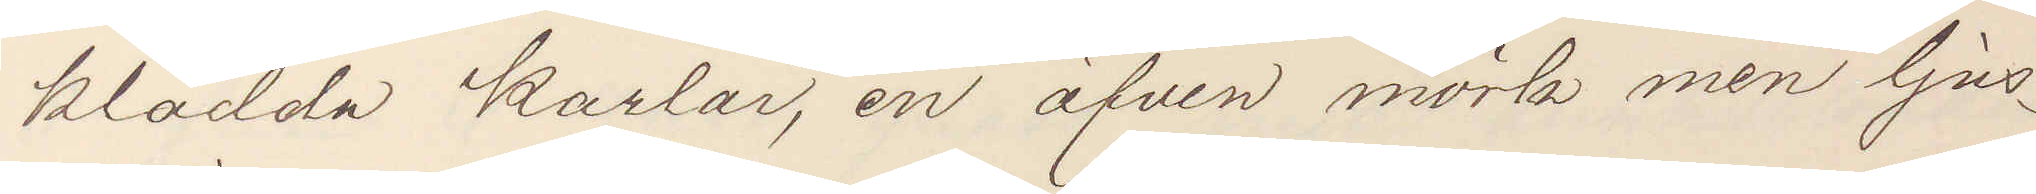klädda karlar, en äfven mörk men ljus¬
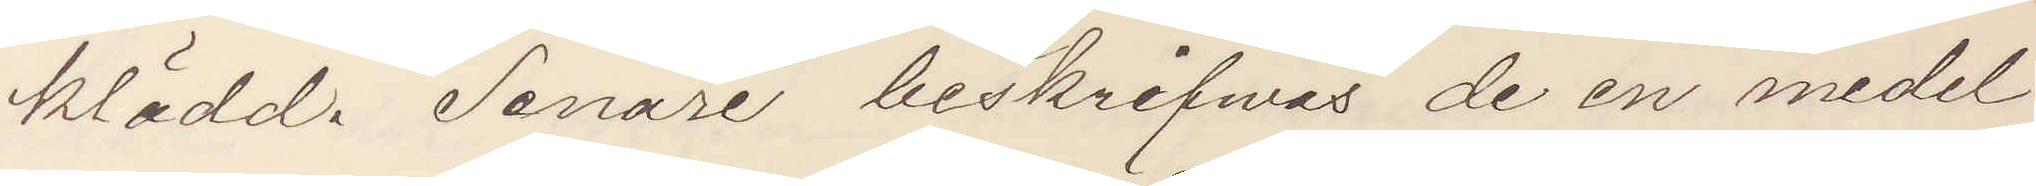klädd. Senare beskrifwes de en medel¬
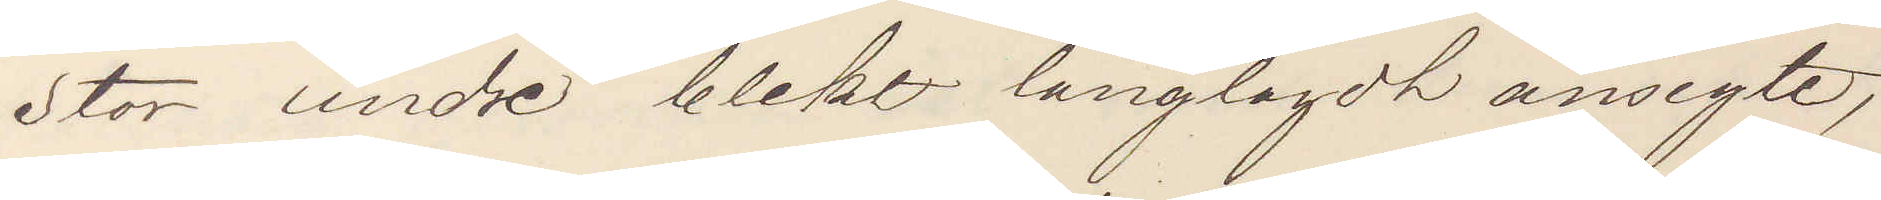stor andre blekt långlagdt ansigte,
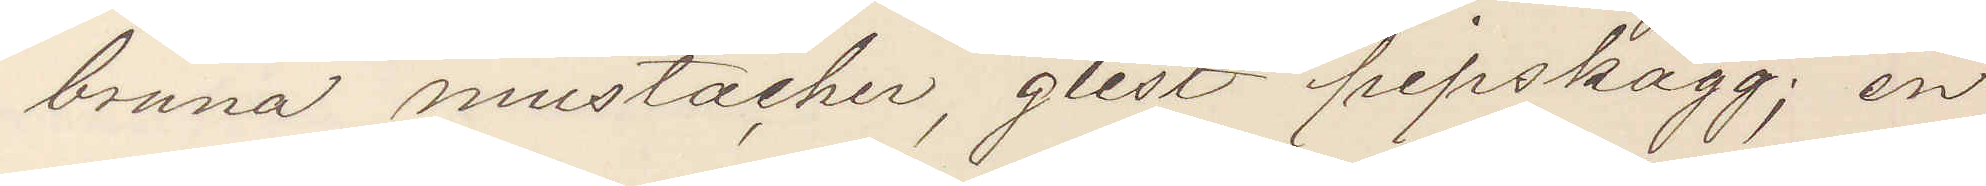bruna mustacher, glest pipskägg; en
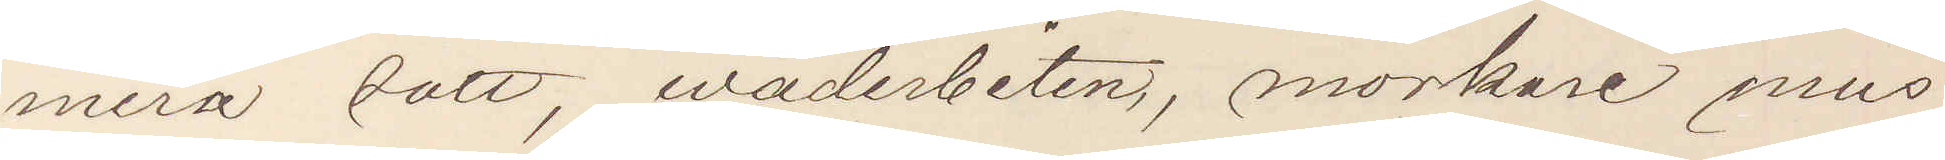mera satt, wäderbiten, mörkare mus¬
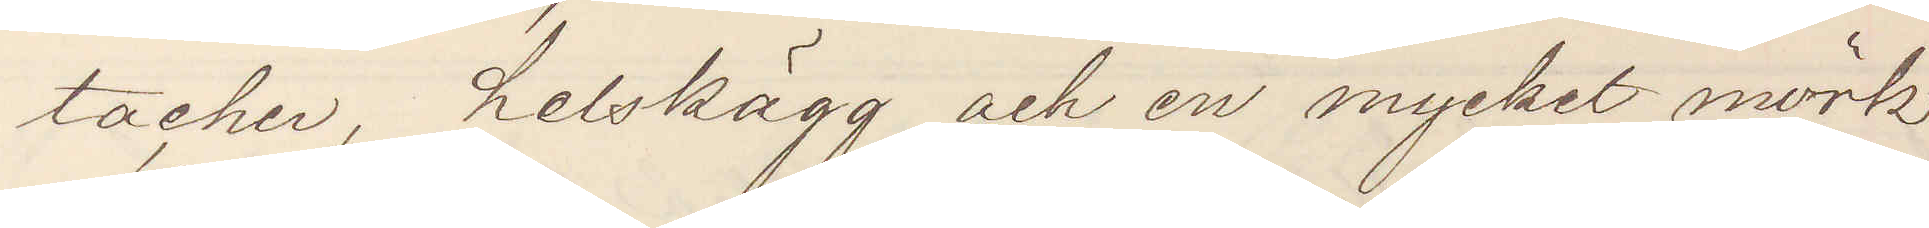tacher, helskägg och en mycket mörk
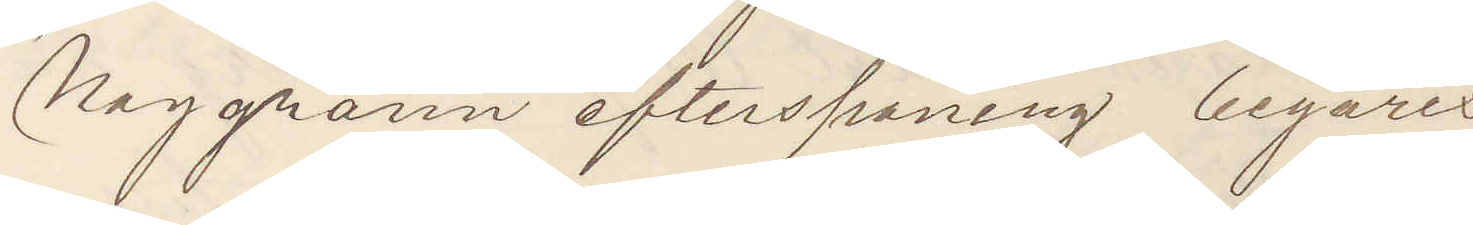Noggrann efterspaning begäres
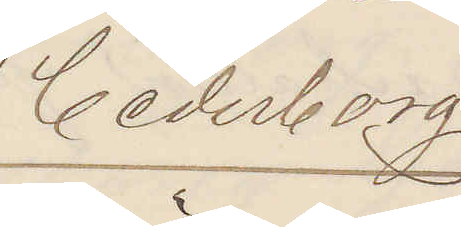Cederborg
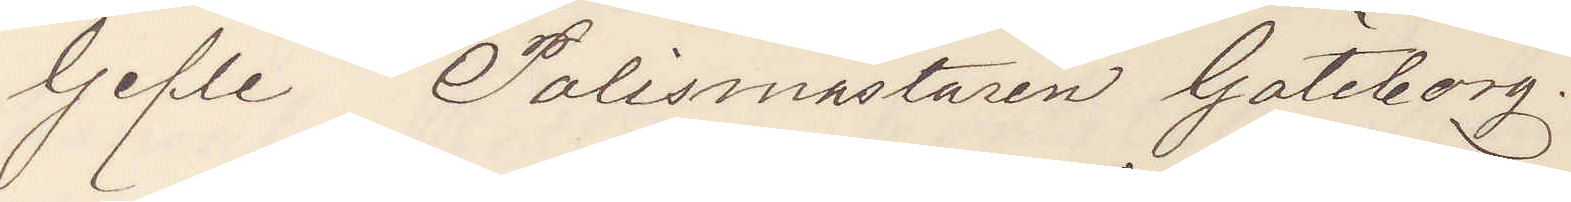Gefle Polismästaren Göteborg.
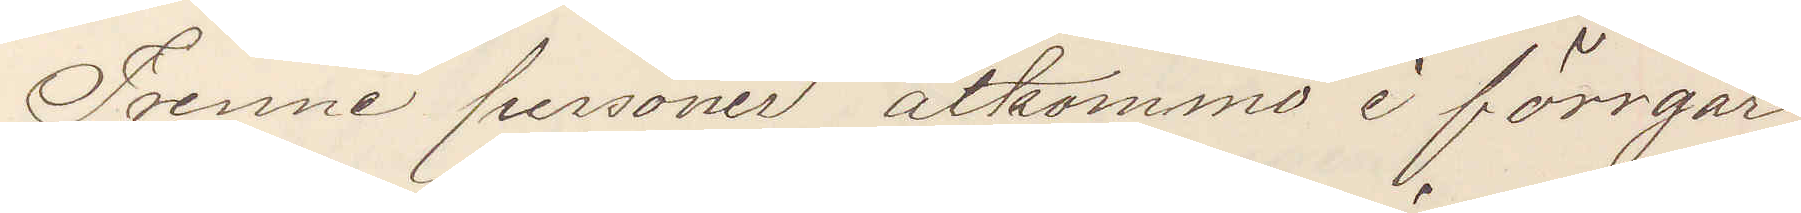Tvenne personer åtkommo i förrgår
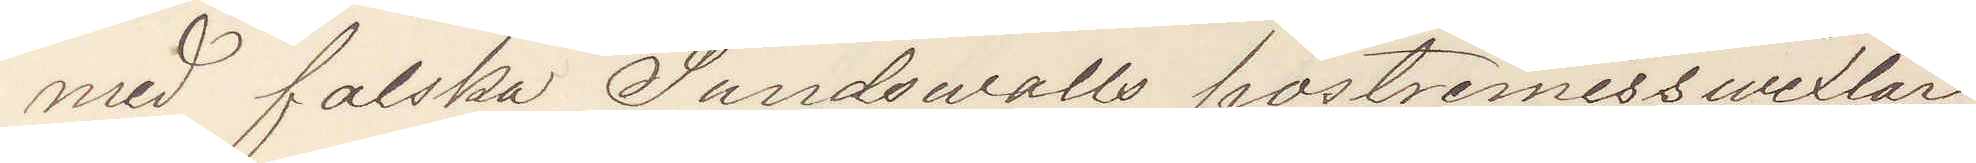med falska Sundswalls postremisswexlar
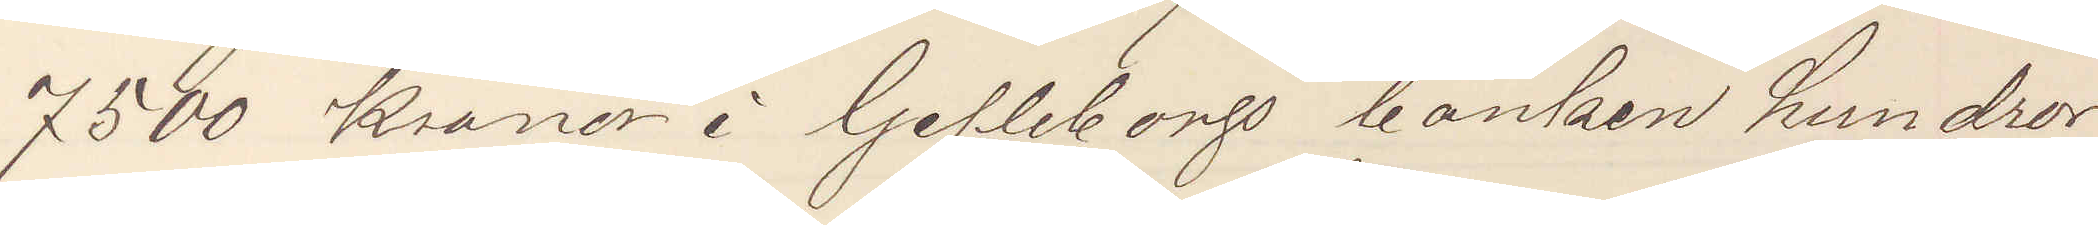7500 Kronor i Gefleborgs banken hundror
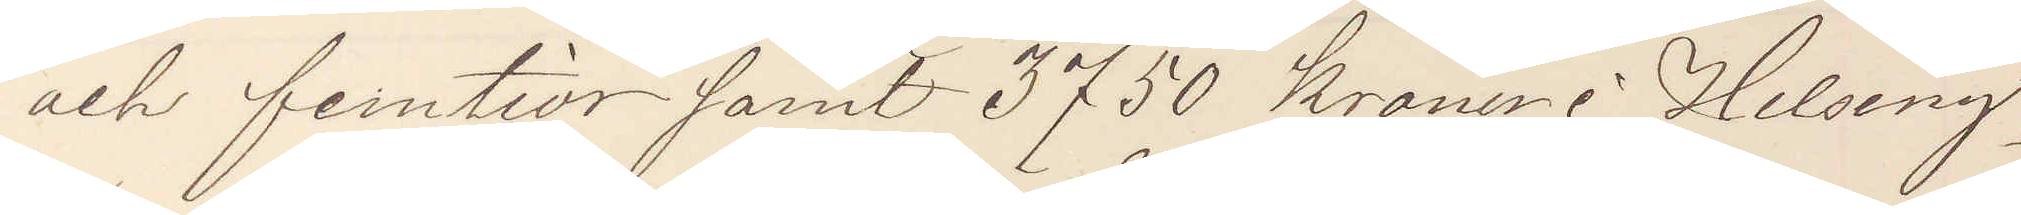och femtior samt 3750 kronor i Helsing¬
